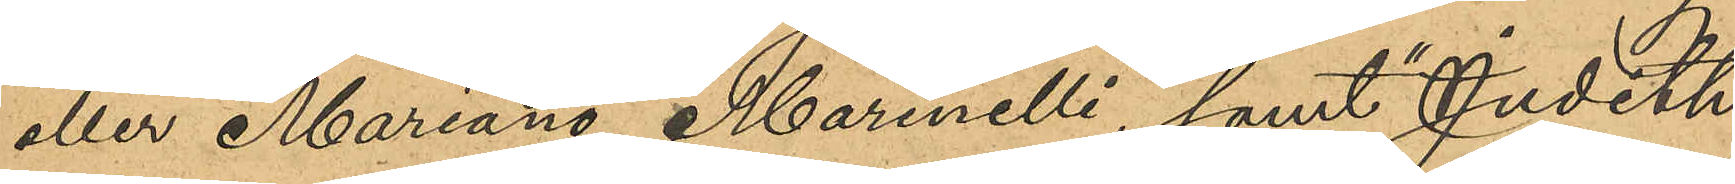eller "Mariano Marinelli", samt "Judith,
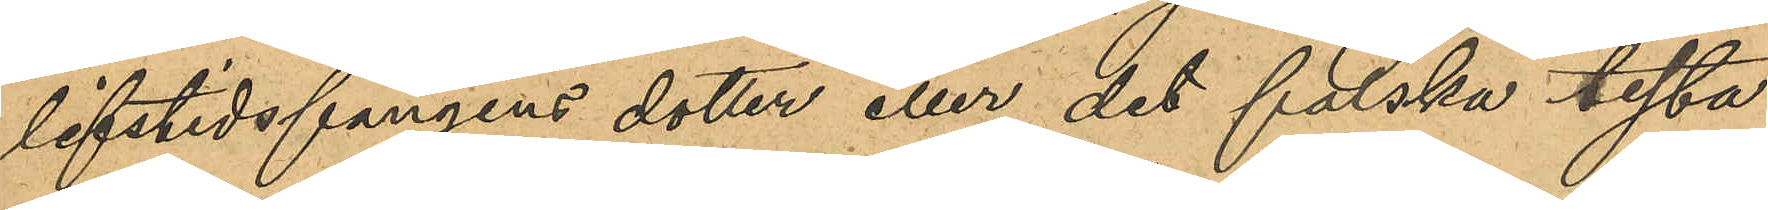lifstidsfångens dotter eller det falska testa¬
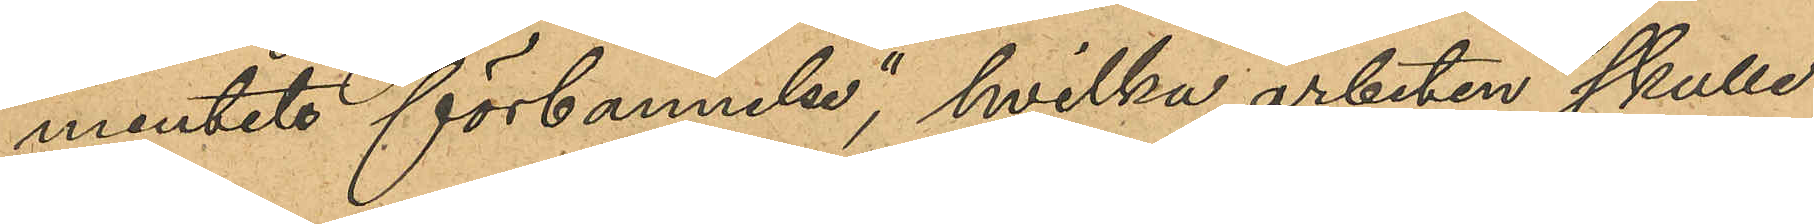mentets förbannelse", hvilka arbeten skulle
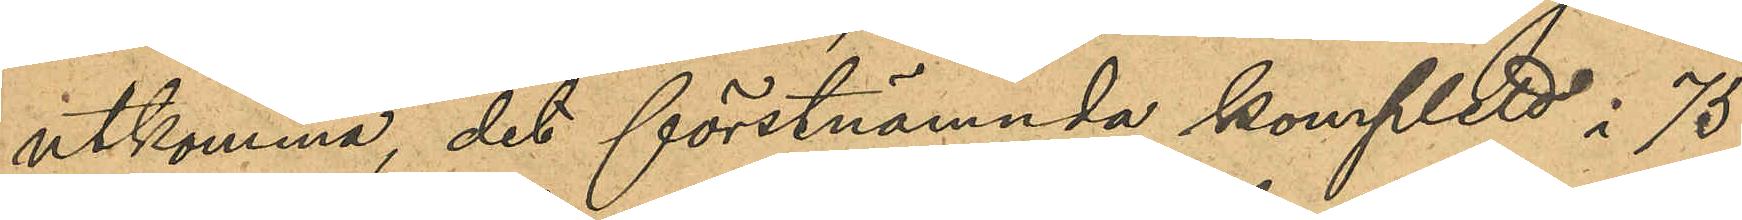utkomma, det förstnämnda komplett i 75
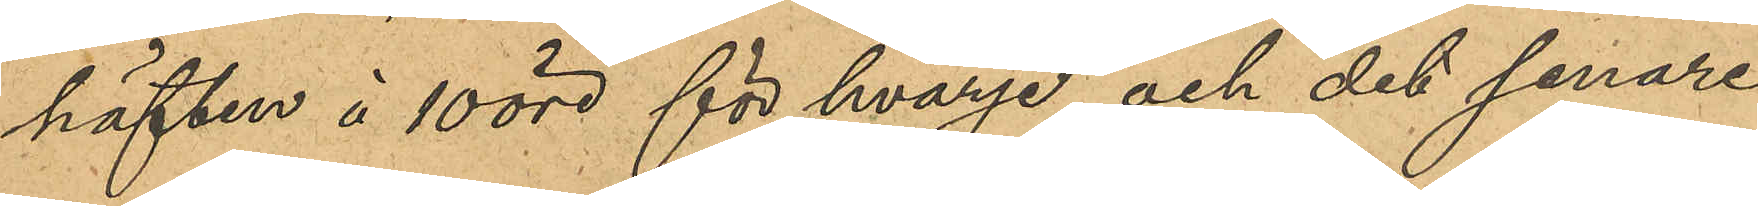häften à 10 öre för hvarje och det senare
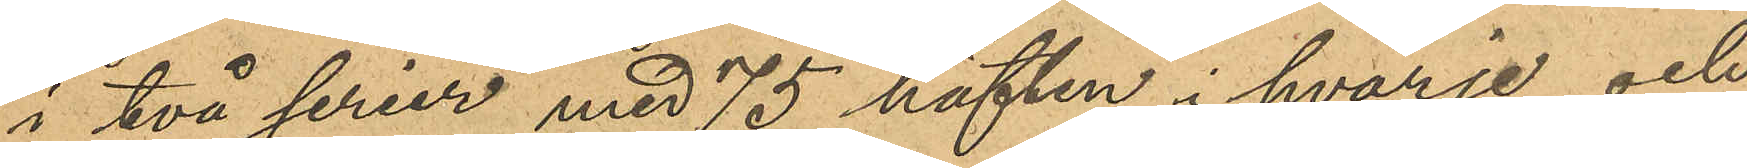i två serier med 75 häften i hvarje och 
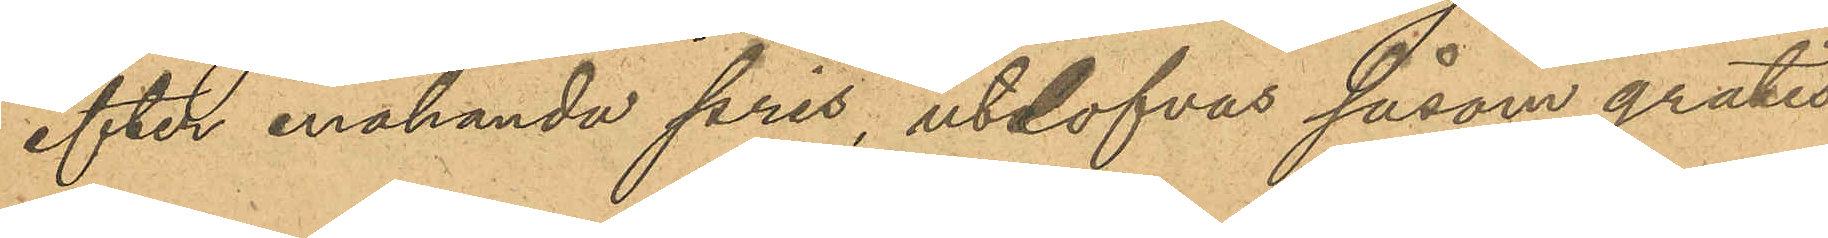efter enahanda pris, utlofvas såsom gratis¬
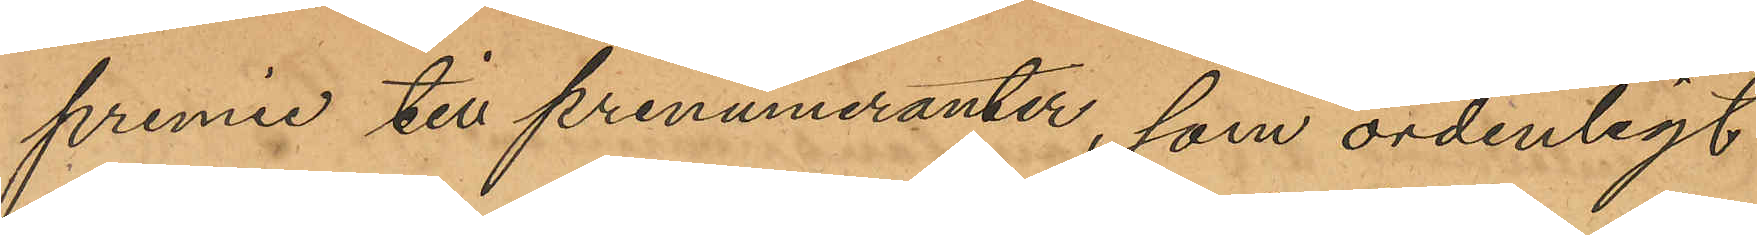premie till prenumeranter, som ordentligt
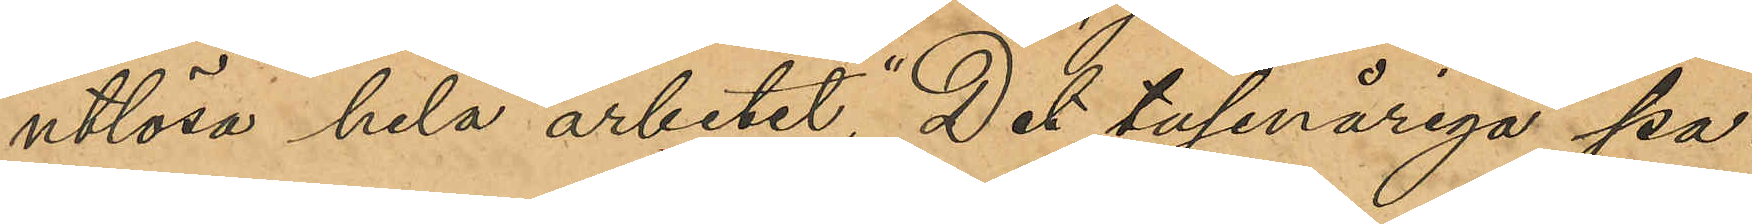utlösa hela arbetet, "Det tusenåriga pa¬
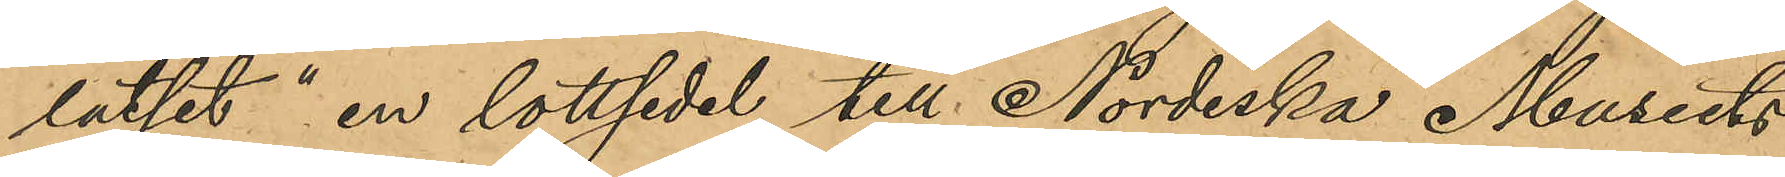latset" en lottsedel till Nordiska Museets
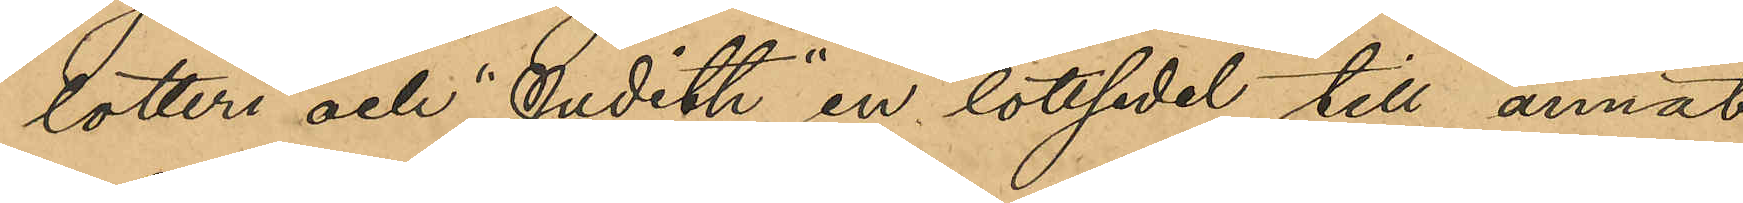lotteri och "Judith" en lottsedel till annat
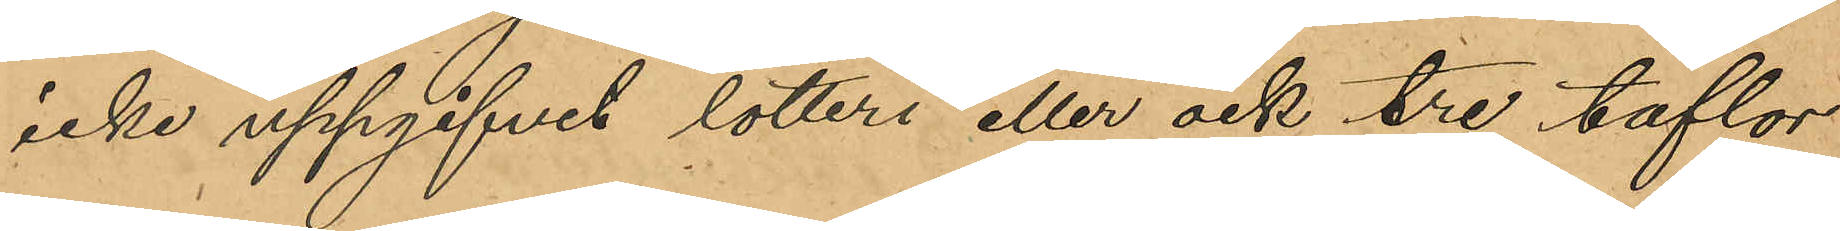icke uppgifvet lotteri eller ock tre taflor
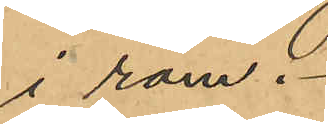i ram.
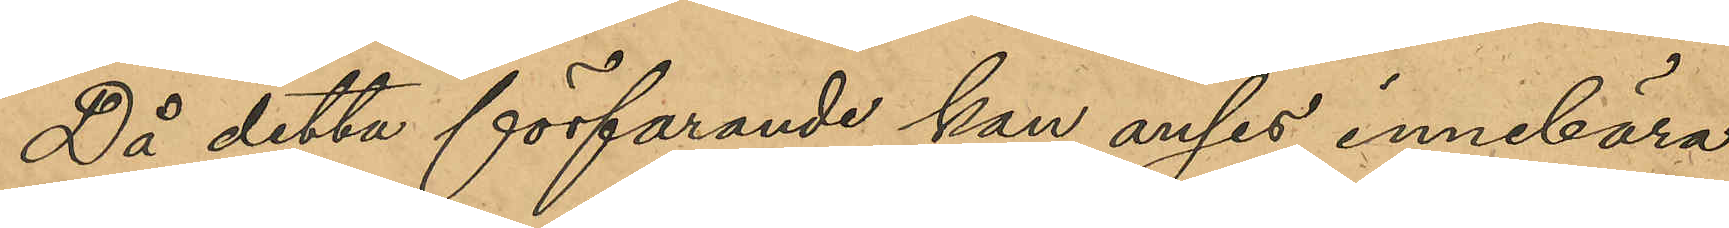Då detta förfarande kan anses innebära
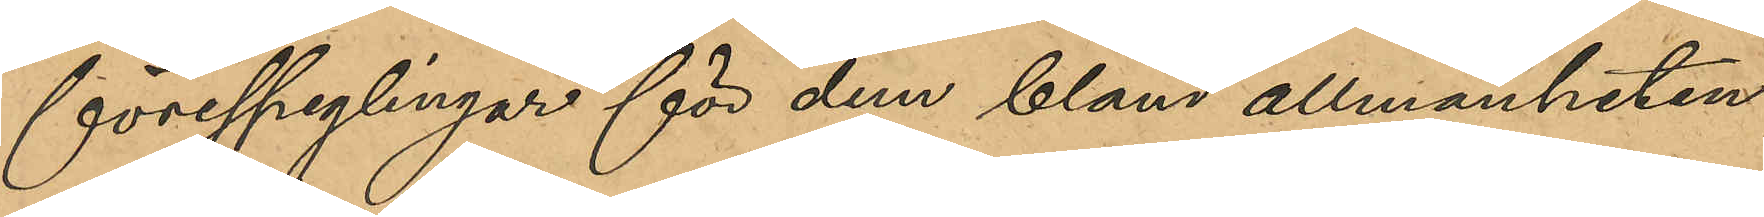förespeglingar för dem bland allmänheten,
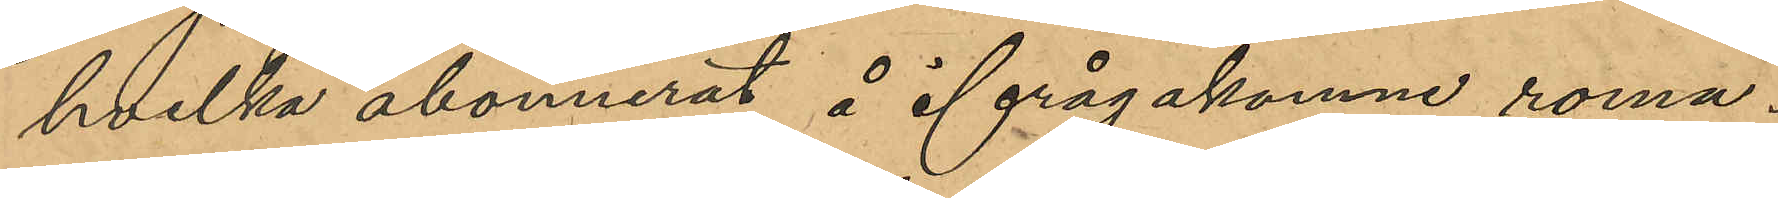hvilka abonnerat å ifrågakomne roma¬
